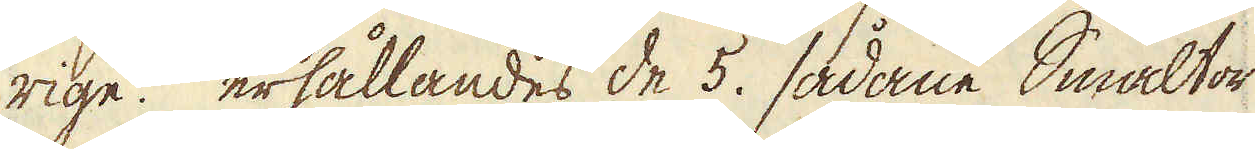rige. erhållandes de 5. sådane Smältor
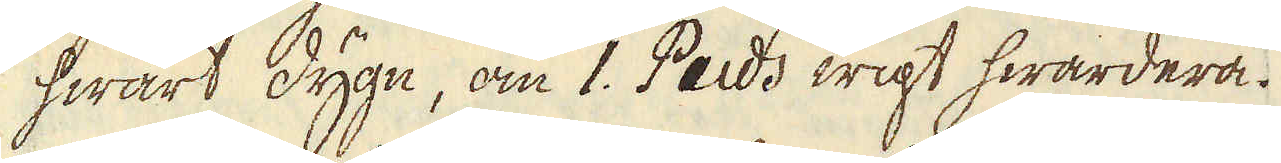hwart dygn, om 1. Puds wigt hwardera.
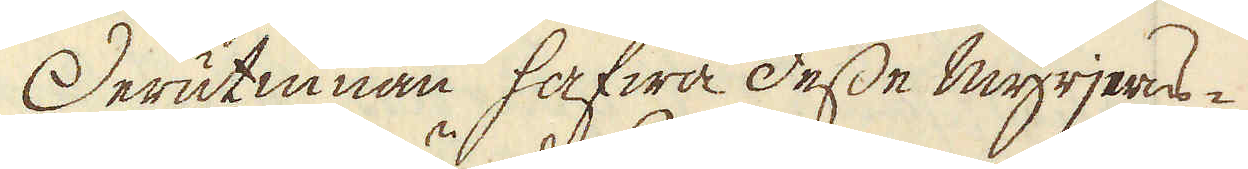Derutinnan hafwa desse myrjerns-
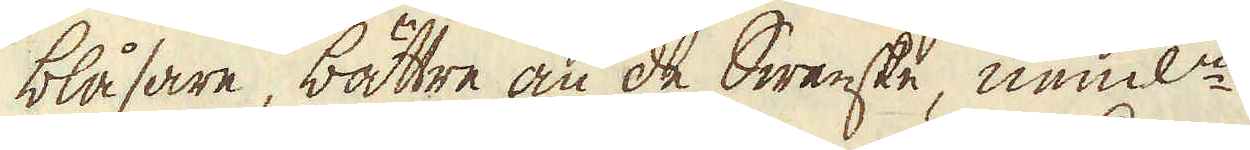blåsare, båttre än de Swenske, neml:n
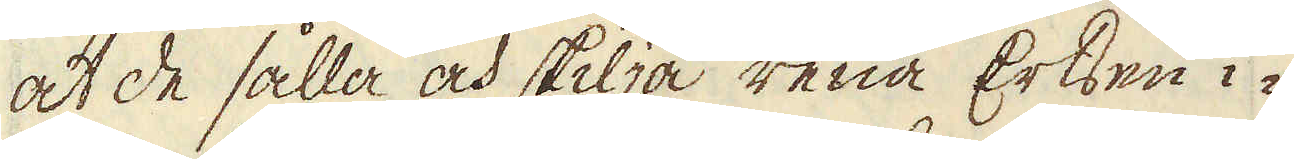at de sålla och skilja rena Ertsen i-
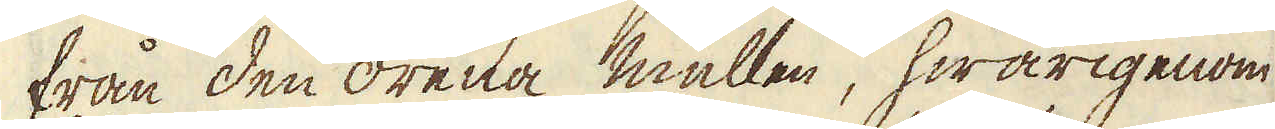från den orena mullen, hwarigenom
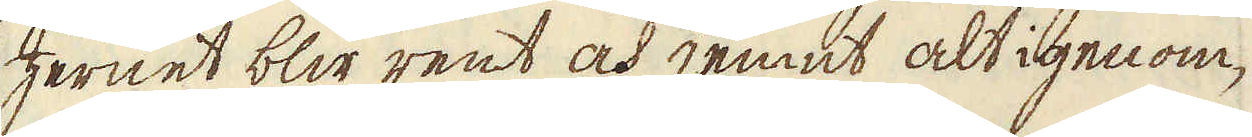Jernet blir rent och jemnt alt igenom,
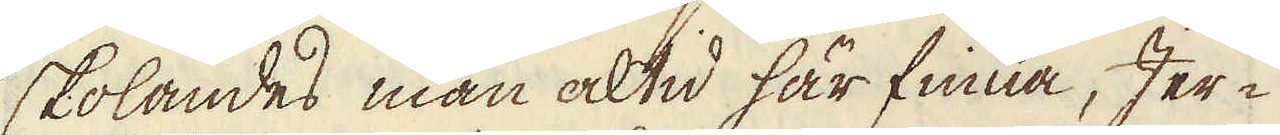skolandes man altid här finna, Jer-
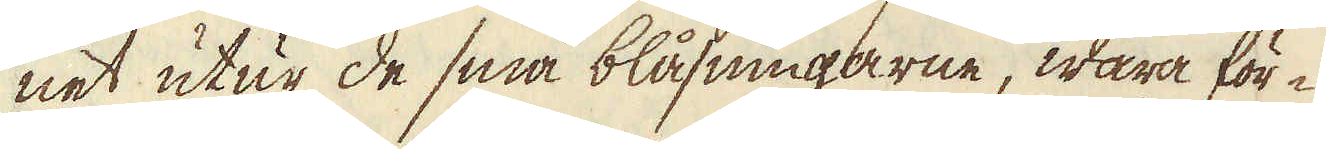net utur de små blåsningarne, wara för-
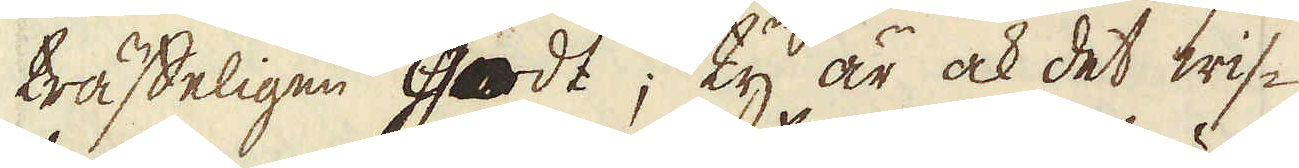träffeligen godt; ty är ock det wis-
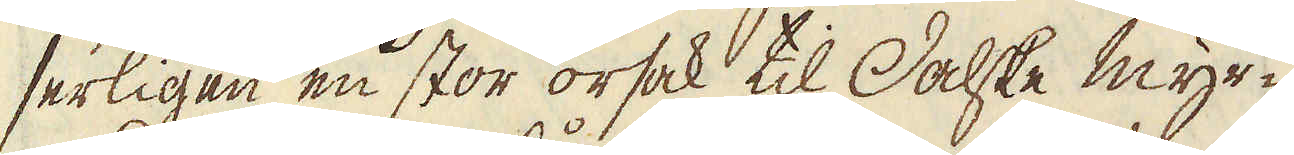serligen en stor orsak til Dalske myr-
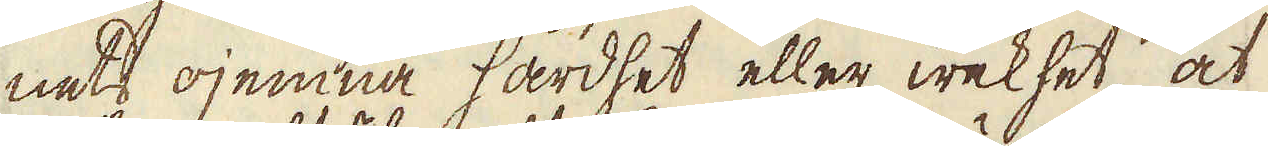nets ojemna hårdhet eller wekhet, at
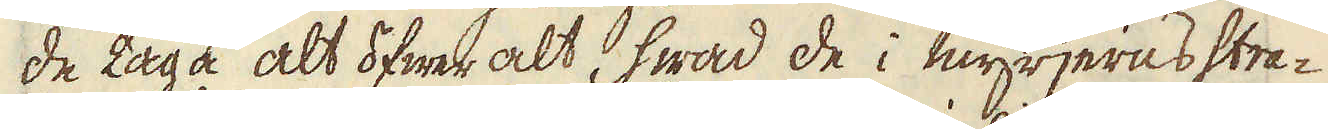de taga alt öfwer alt, hwad de i myrjerns stra-
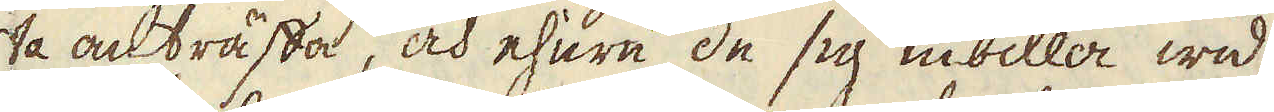ta anträffa, och ehuru de sig inbilla wid
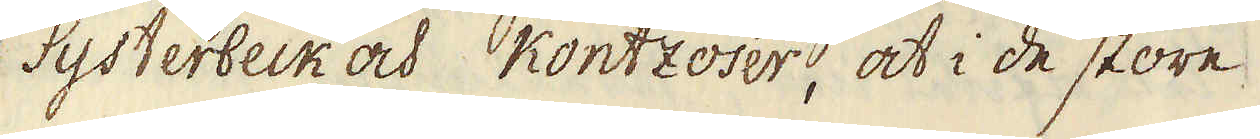Systerbeck och Kontzoser, at i de store
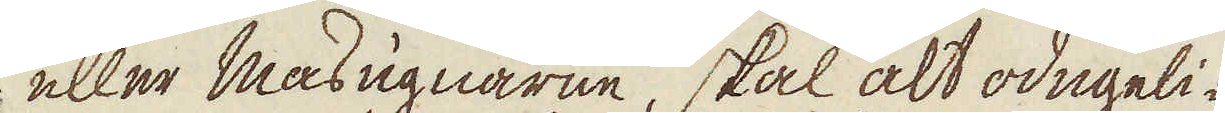eller masugnarne, skal alt odugeli-
